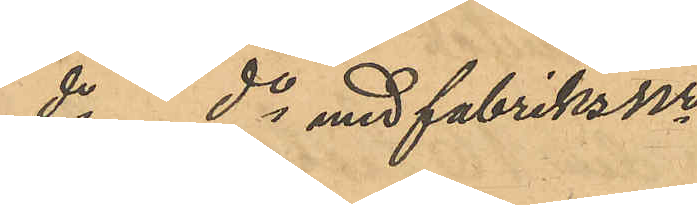do do med fabriksnr
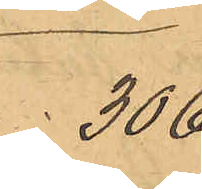306
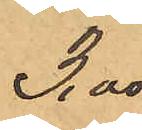3,00
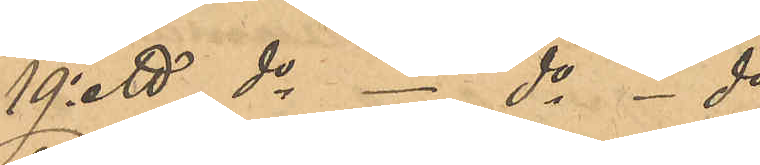19o ett do - do - do
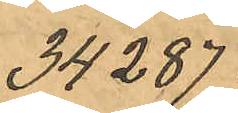34287
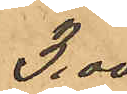3,00
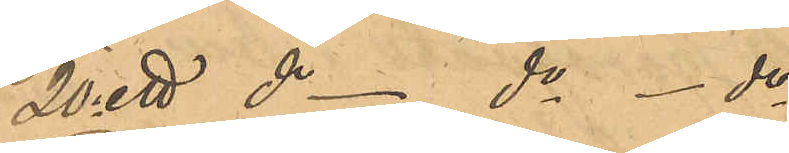20o ett do do do
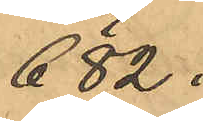682
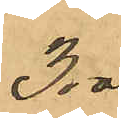3,00
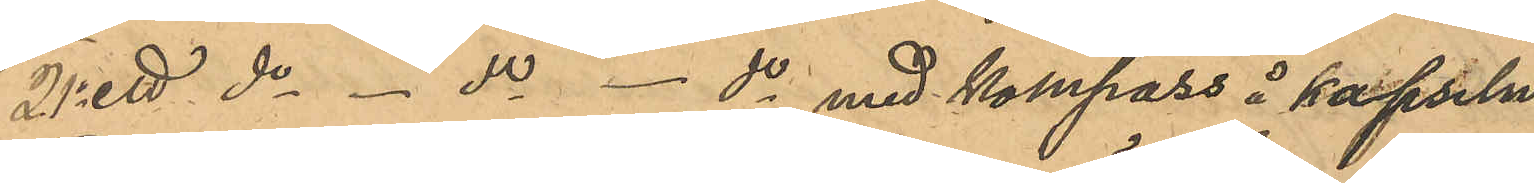21o ett do - do - do med kompass å kapseln
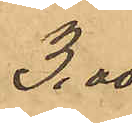3,00
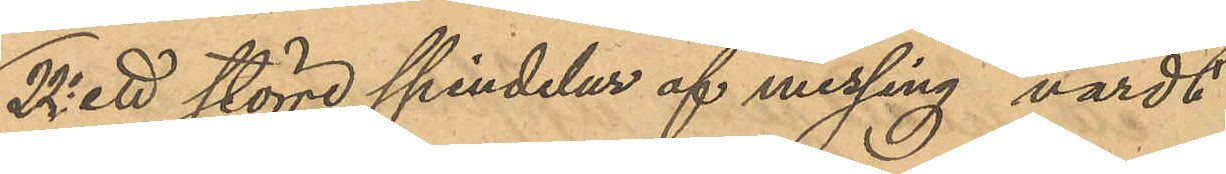22o ett större spindelur af messing värdt
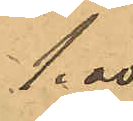1,00
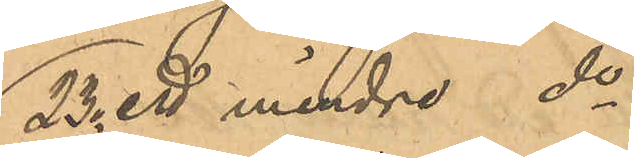23o ett mindre do
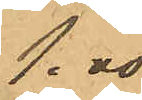1,00
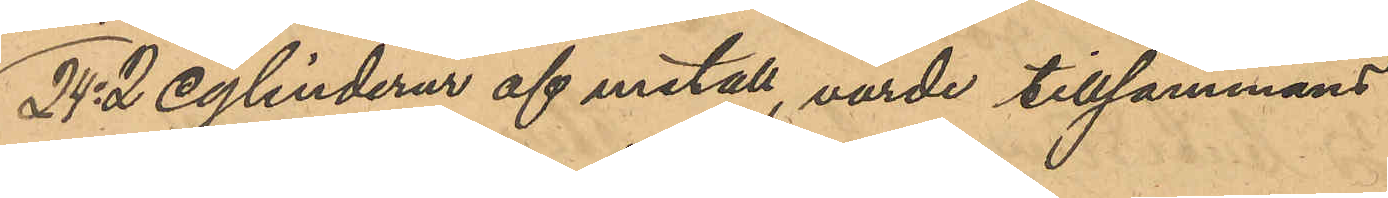24o 2 cylinderur af metall, värde tillsammans
